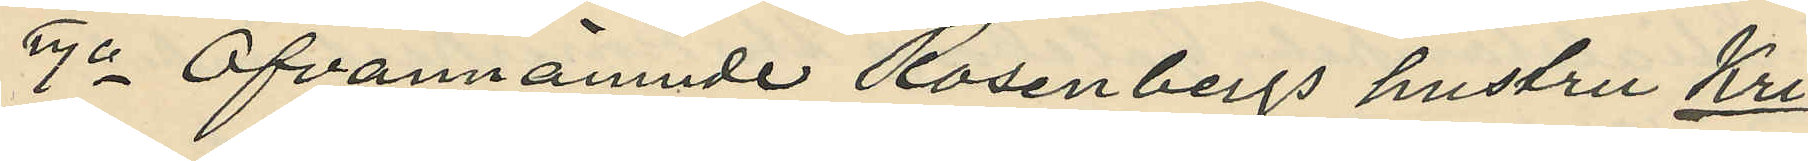4o Ofvannämnde Rosenbergs hustru Kri¬
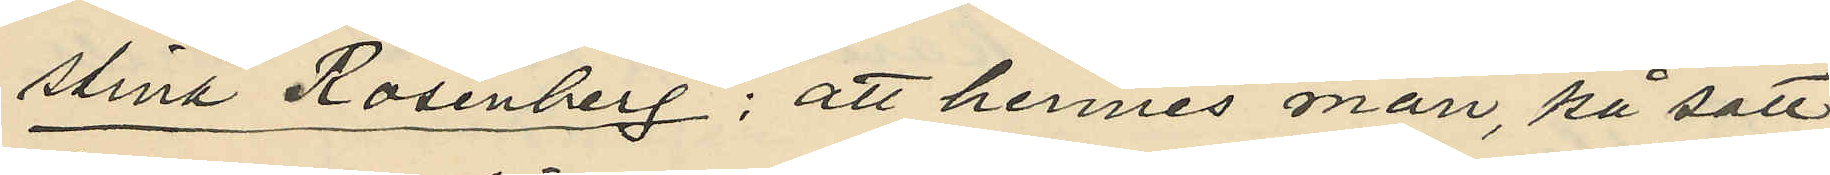stina Rosenberg; att hennes man, på sätt
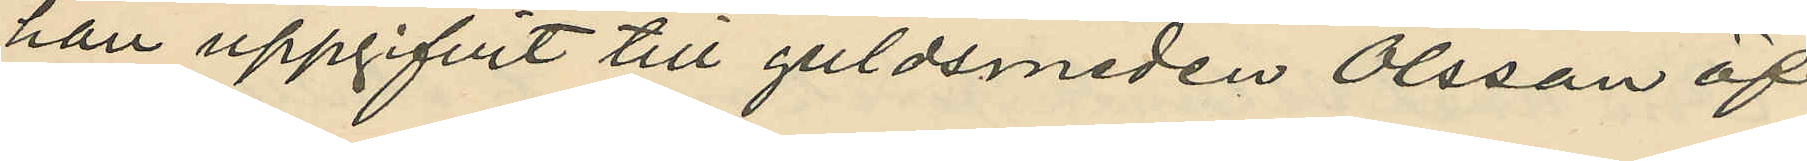han uppgifvit till guldsmeden Olsson öf¬
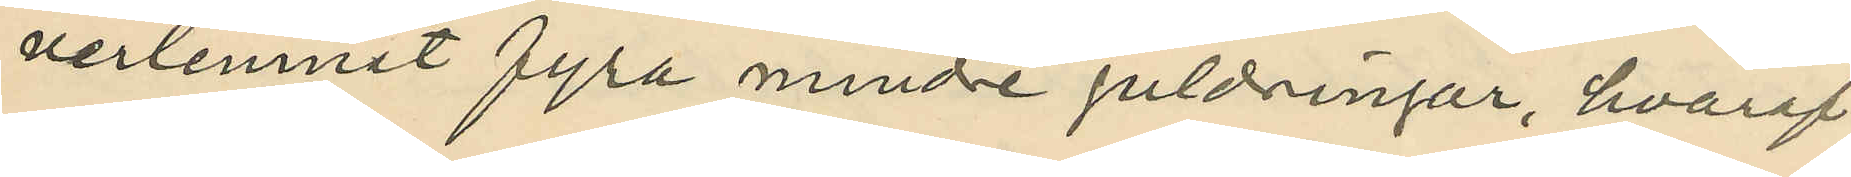verlemnat fyra mindre guldringar, hvaraf
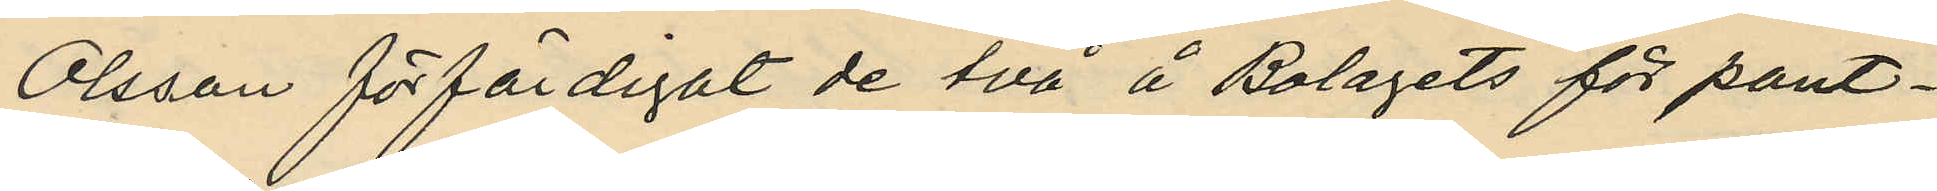Olsson förfärdigat de två å Bolagets för pant¬
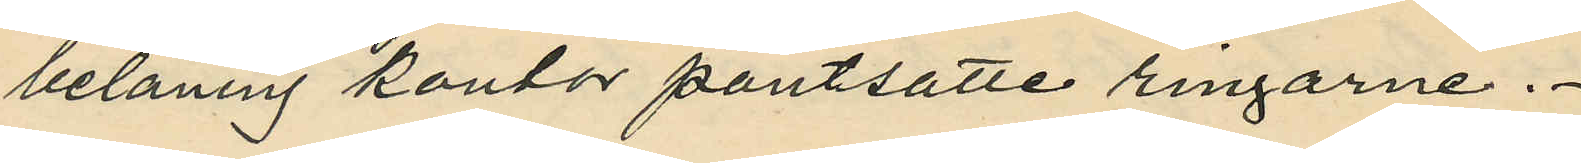belåning kontor pantsatte ringarne.
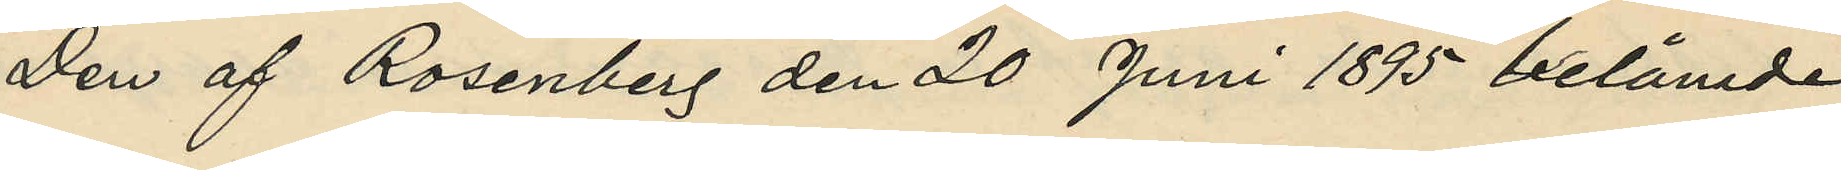Den af Rosenberg den 20 Juni 1895 belånade
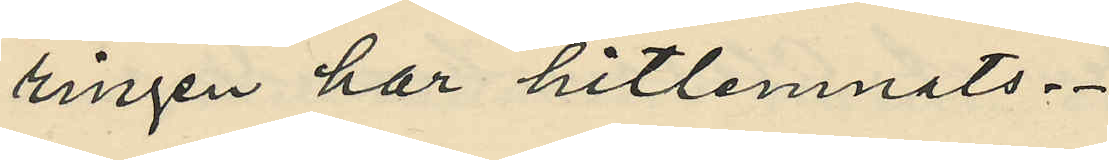ringen har hitlemnats.
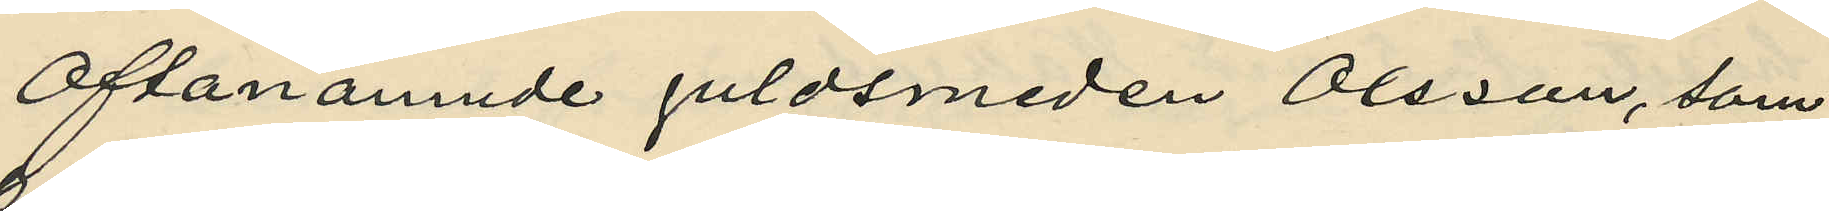Oftanämnde guldsmeden Olsson, som
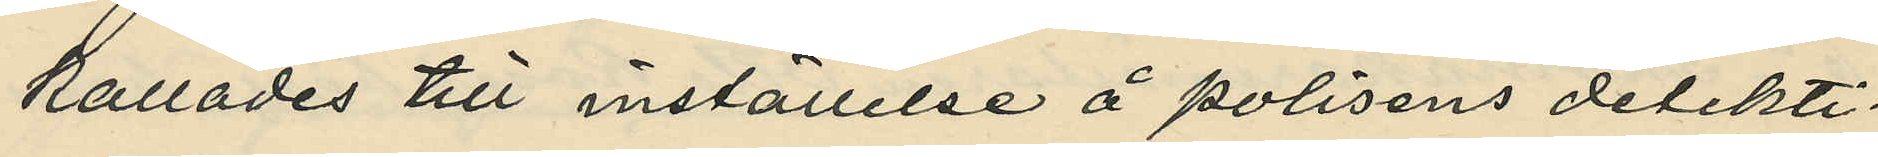kallades till inställelse å polisens detekti¬
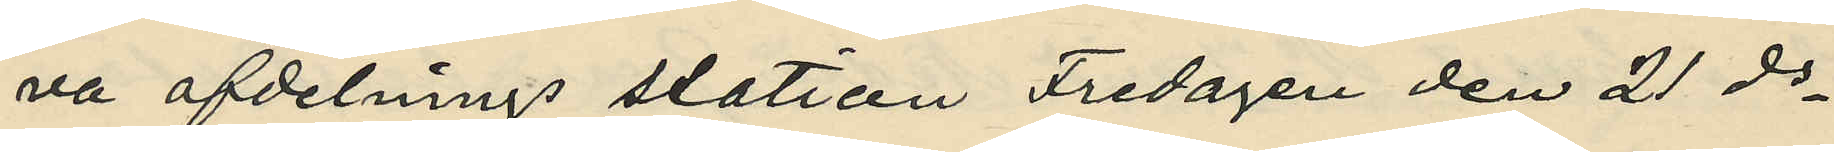va afdelnings station Fredagen den 21 ds
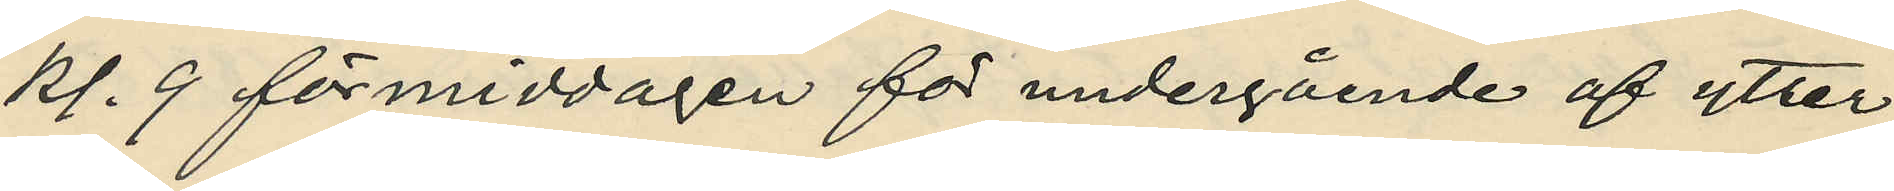kl. 9 förmiddagen för undergående af ytter¬
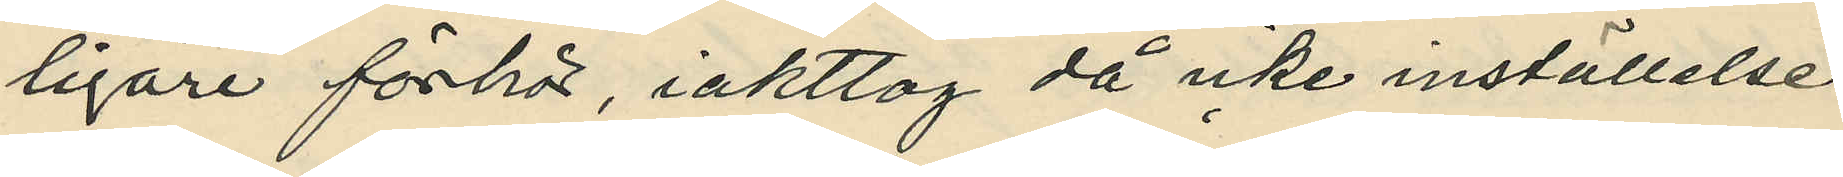ligare förhör, iakttog då icke inställelse
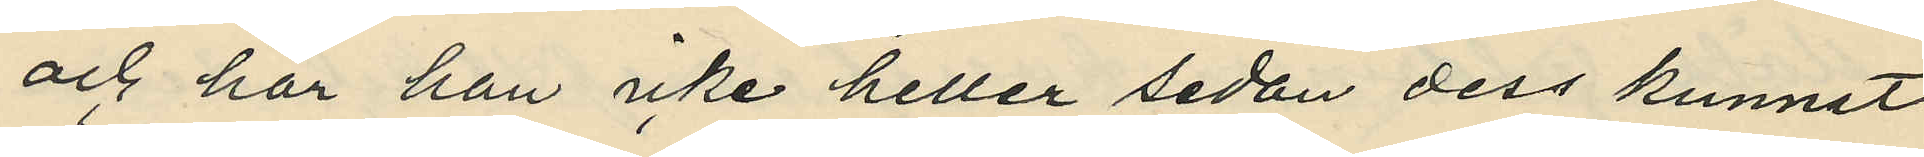och har han icke heller sedan dess kunnat
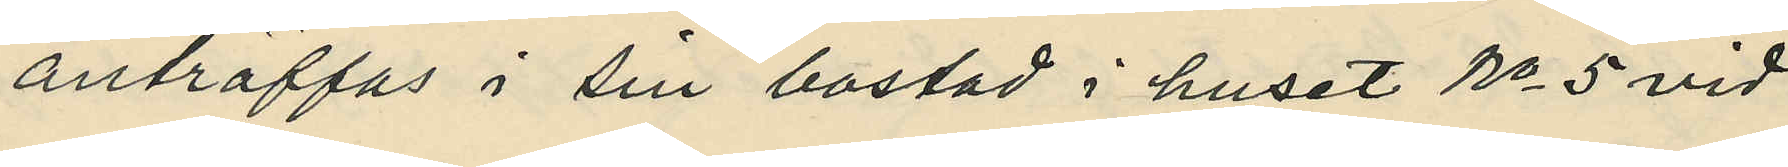anträffas i sin bostad i huset No 5 vid
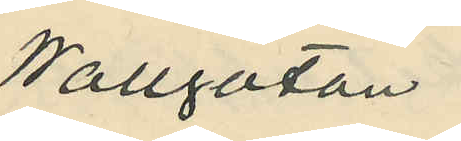Wallgatan.
